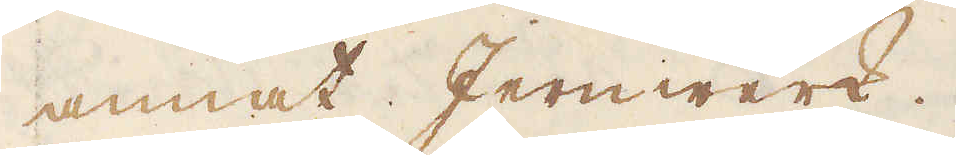annat Jernwerk.
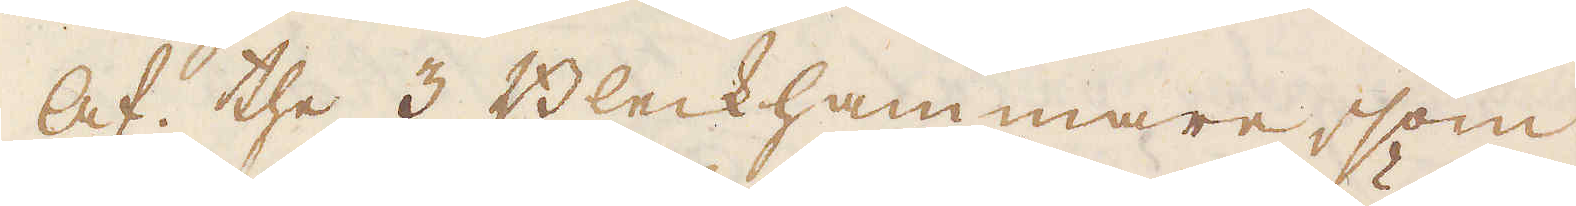Af the 3 Bleckhammare, som
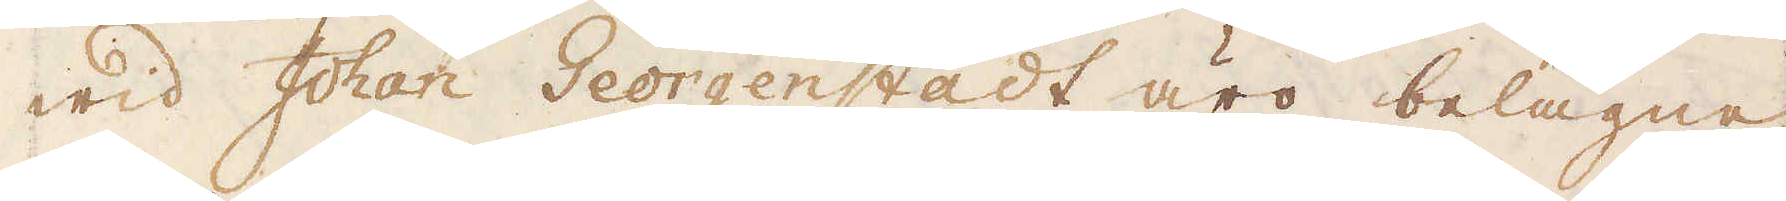wid Johan Georgenstadt äro belägne,
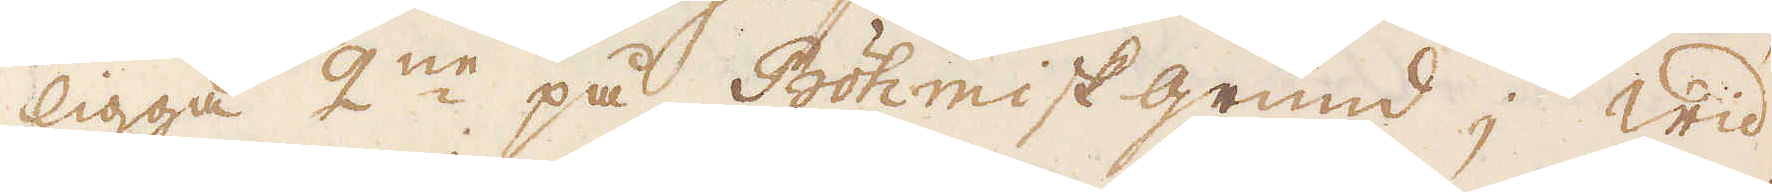ligga 2:ne på Böhmisk grund; wid
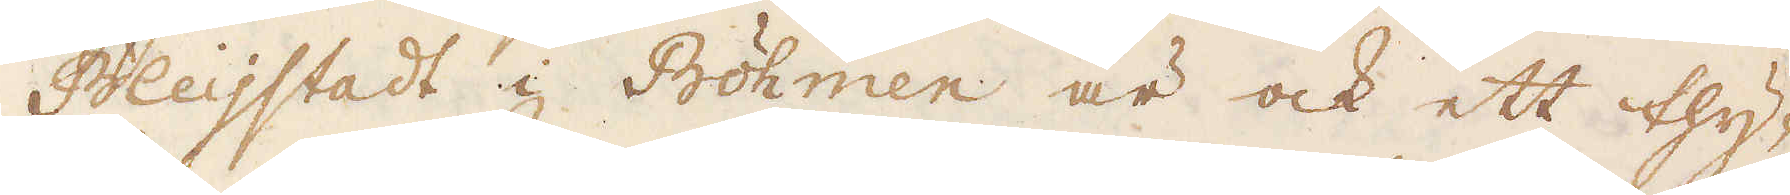Bleijstadt i Böhmen är ock ett thy-
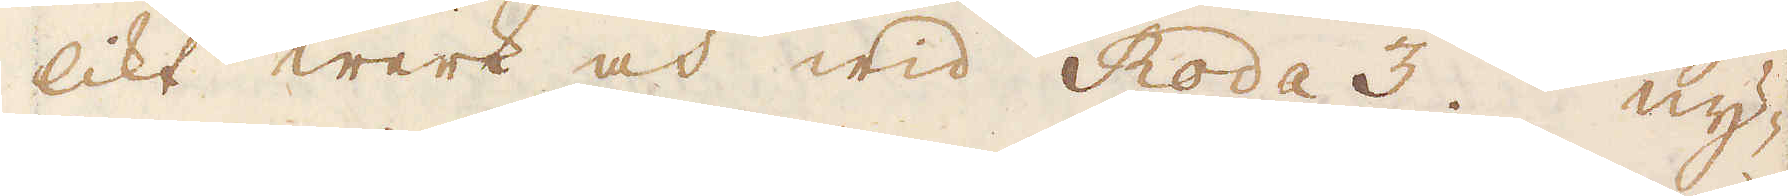likt werk och wid Roda 3, ny-
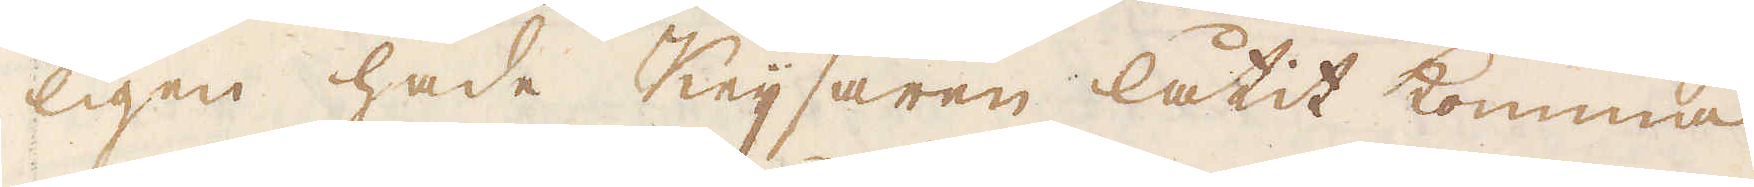ligen hade Keijsaren låtit komma
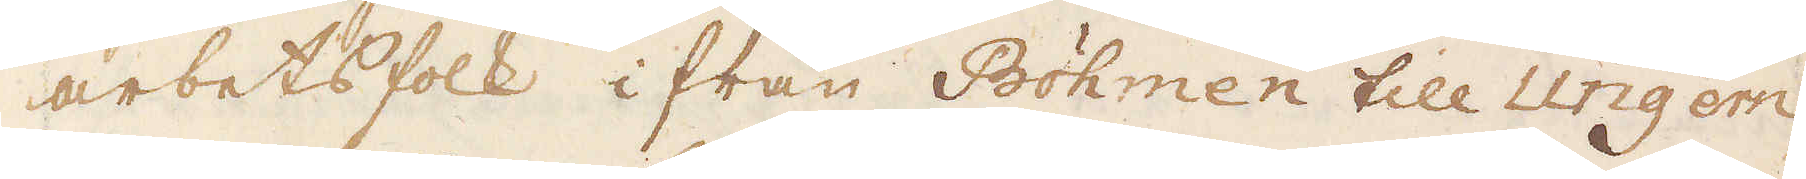arbetsfolk ifrån Böhmen till Ungern,
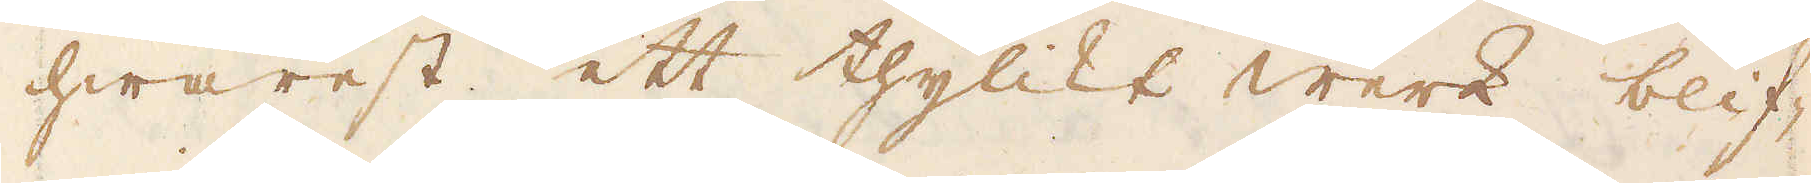hwarest ett thylikt werk blif-
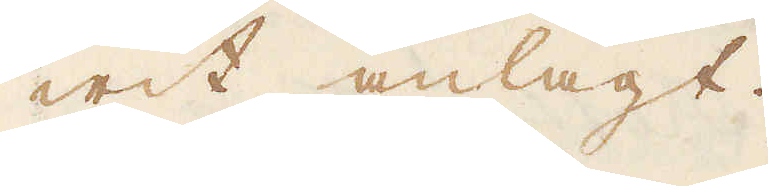wit anlagt.
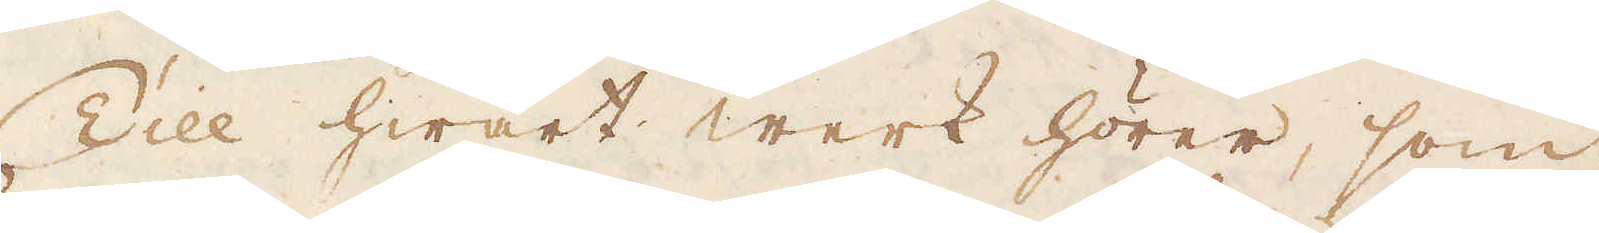Till hwart werk hörer, som
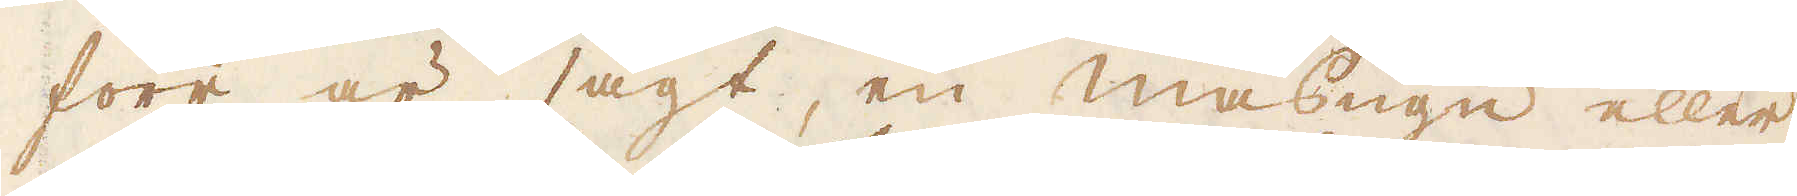förr är sagt, en masugn eller
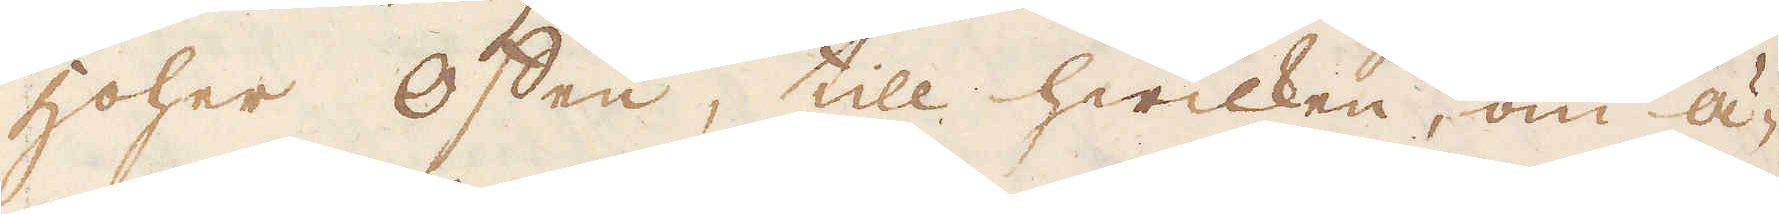hoher Offen, till hwilken, om ä-
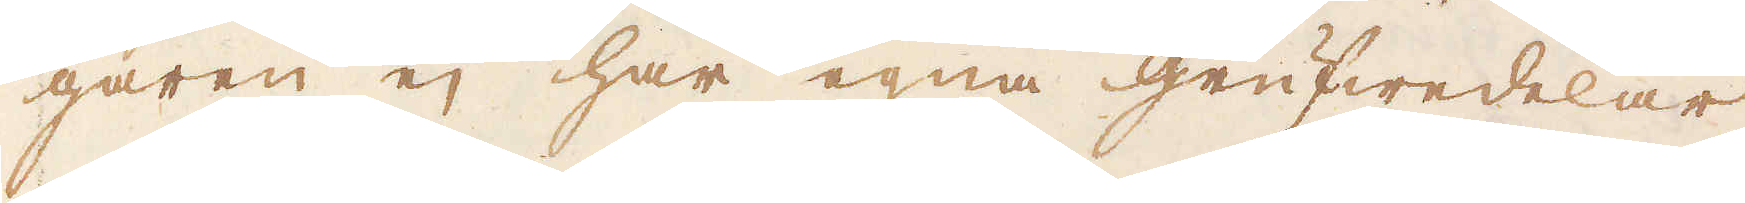garen ej har egna grufwedelar
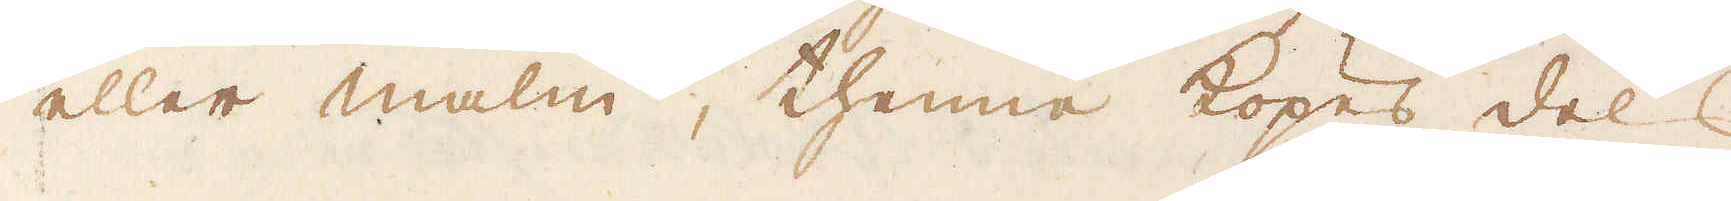eller malm, thenne köpes dels
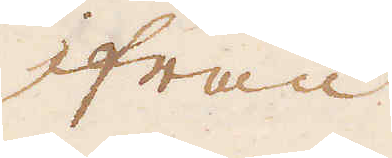ifrån
